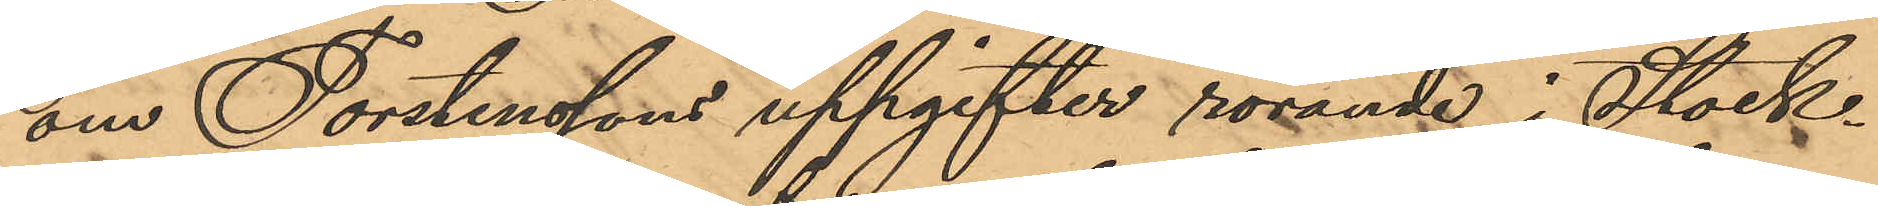om Torstenssons uppgifter rörande i Stock¬
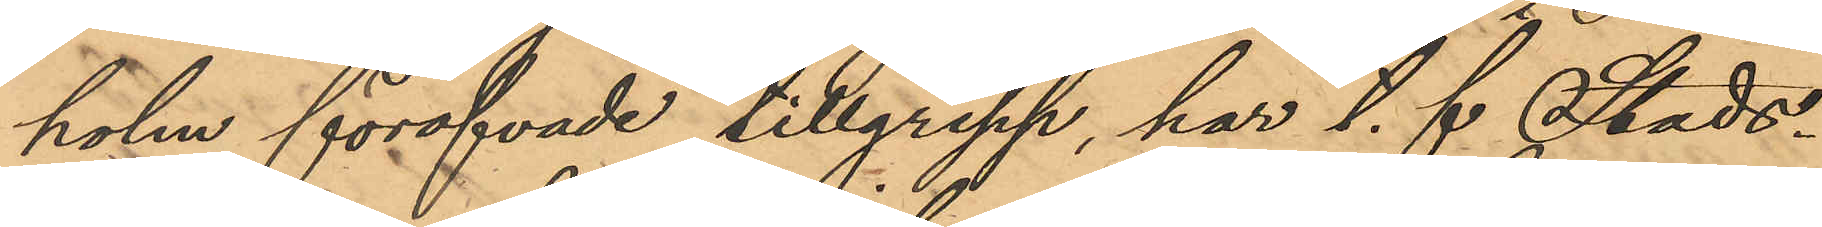holm föröfvade tillgrepp, har t. f. Stads¬
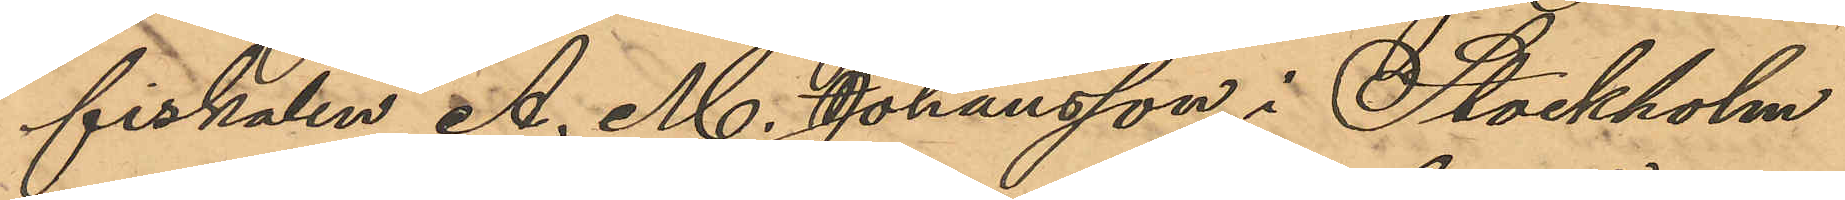fiskalen A. M. Johansson i Stockholm
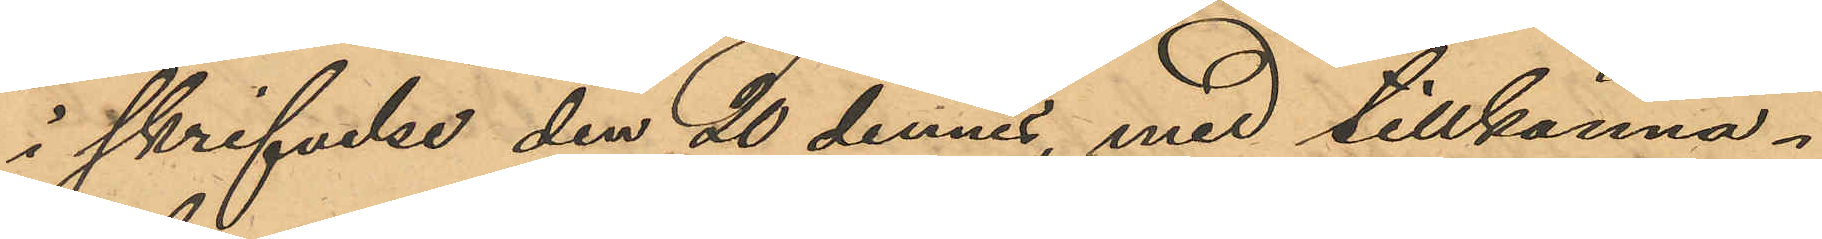i skrifvelse den 20 dennes med tillkänna¬
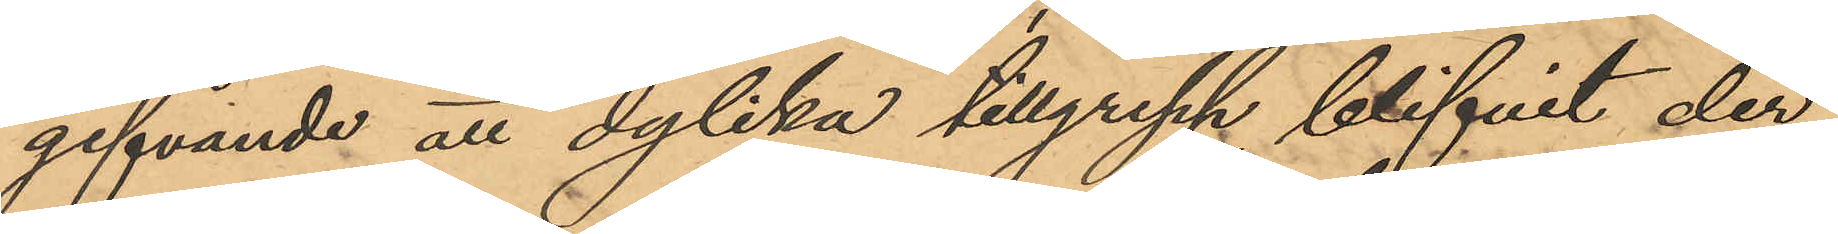gifvande att dylika tillgrepp blifvit der
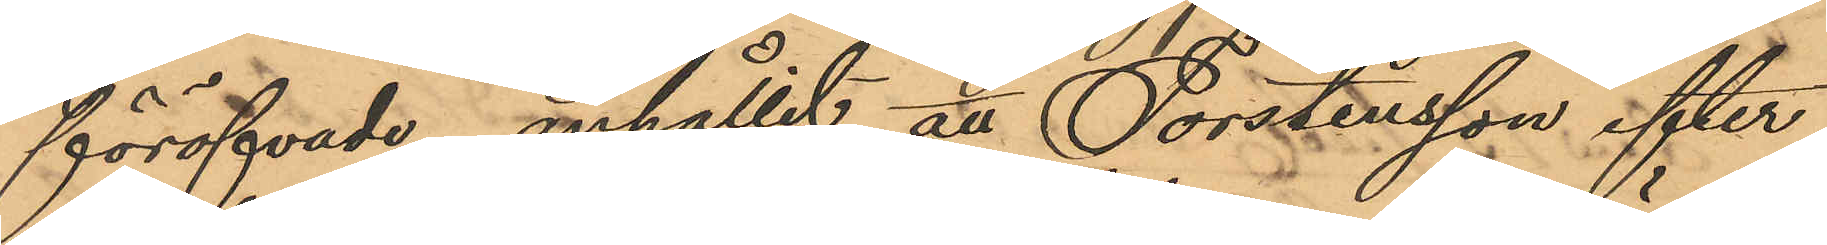föröfvade, anhållit att Torstensson efter
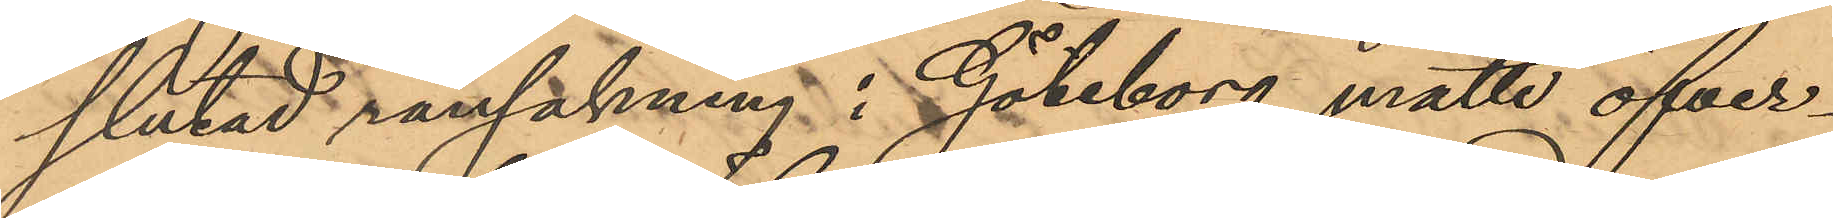slutad ransakning i Göteborg måtte öfver¬
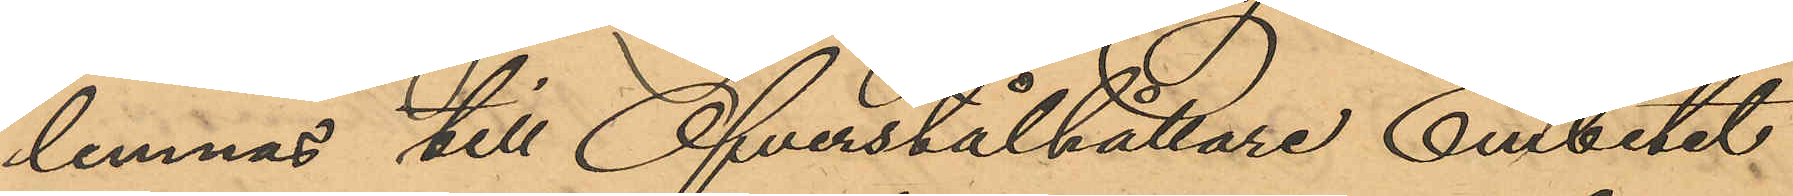lemnas till Öfverstålhållare Embetet
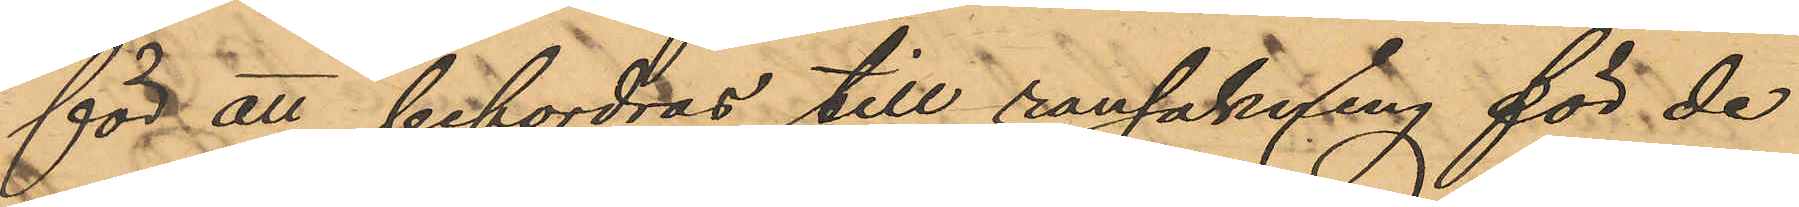för att befordras till ransakning för de
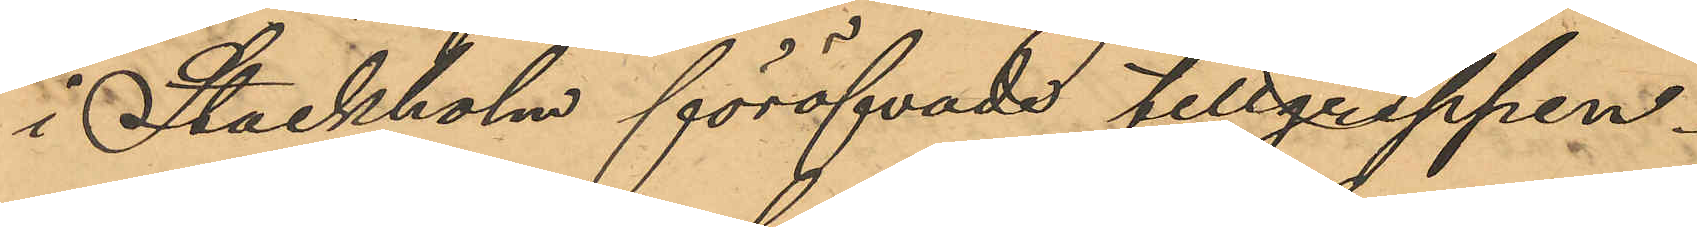i Stockholm föröfvade tillgreppen.
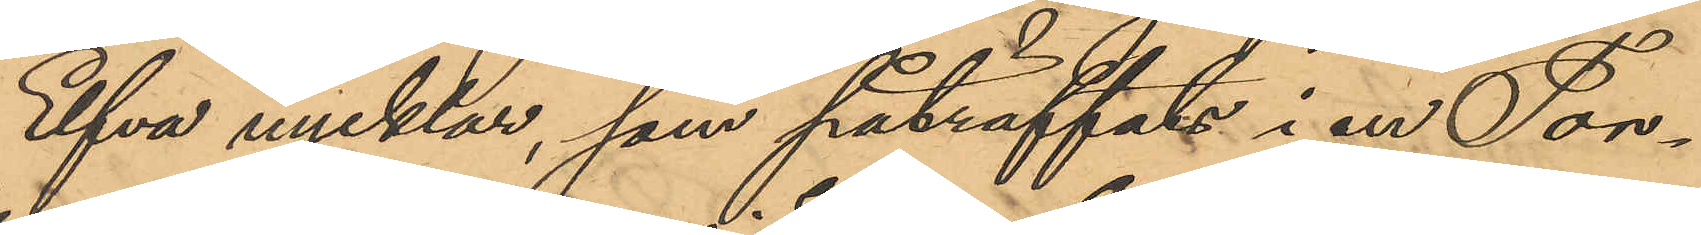Elfva nycklar, som påträffats i en Tor¬
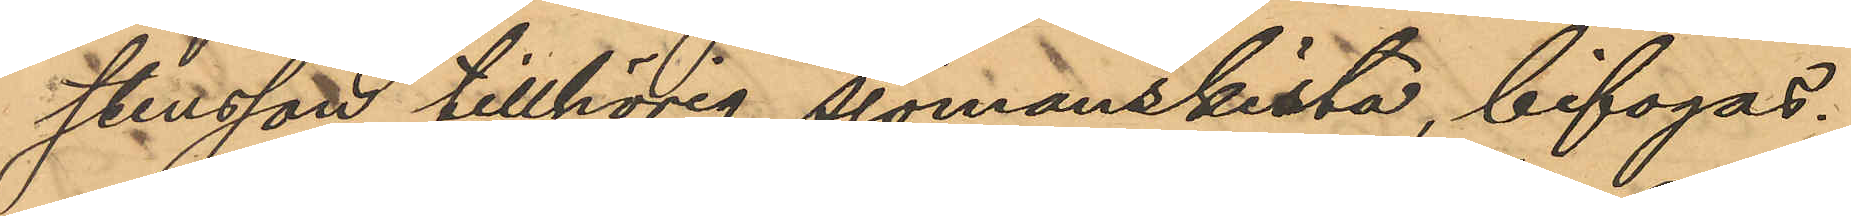stensson tillhörig sjömanskista, bifogas.
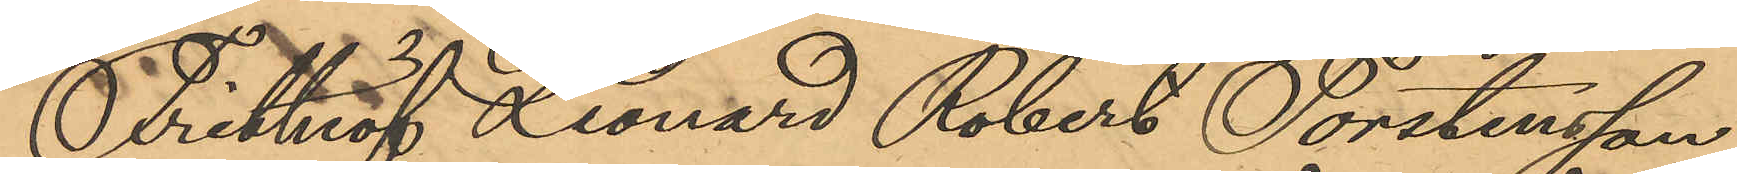Frithiof Leonard Robert Torstensson
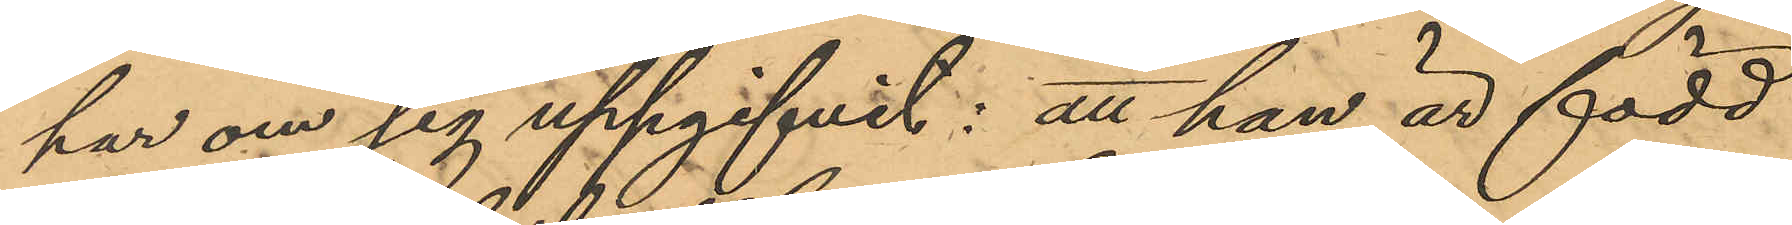har om sig uppgifvit: att han är född
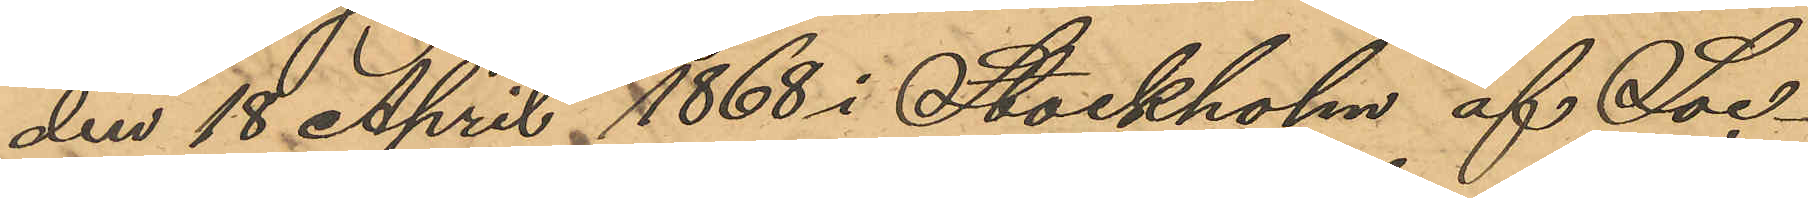den 18 April 1868 i Stockholm af Soc¬
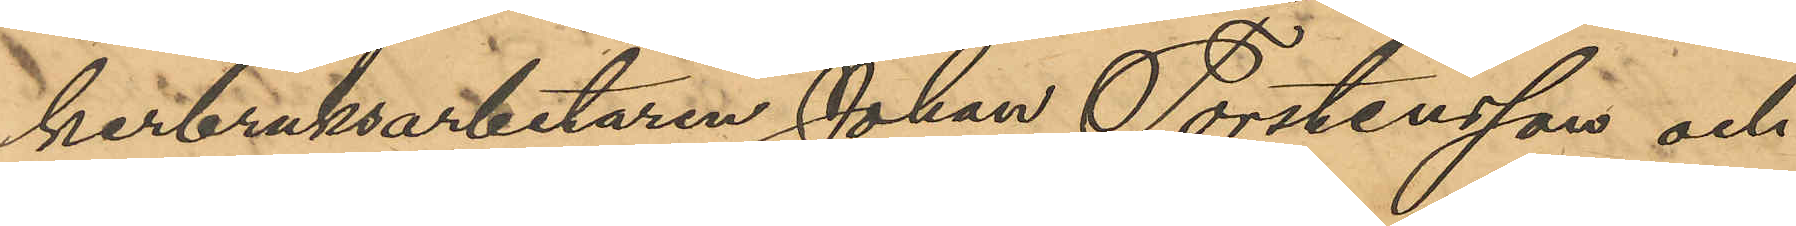kerbruksarbetaren Johan Torstensson och
